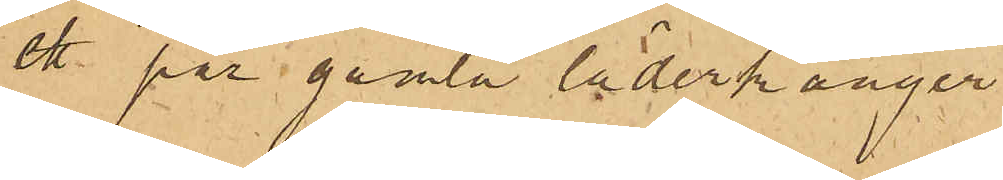ett par gamla läderkänger 1 
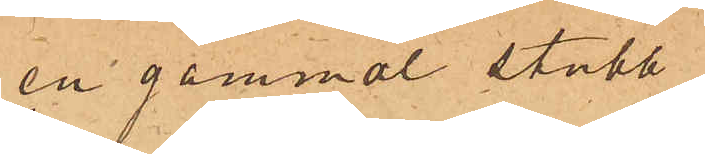en gammal stubb
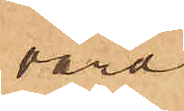värd
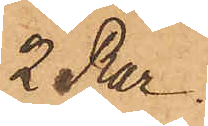2 Rdr
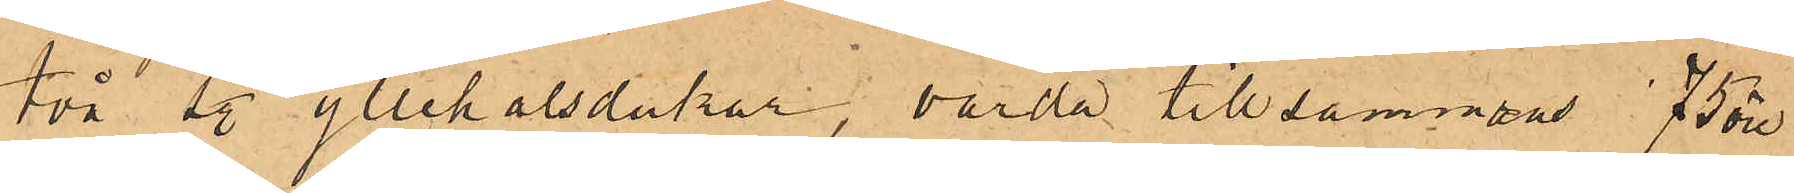två sty. yllehalsdukar, värde tillsammans 75 öre
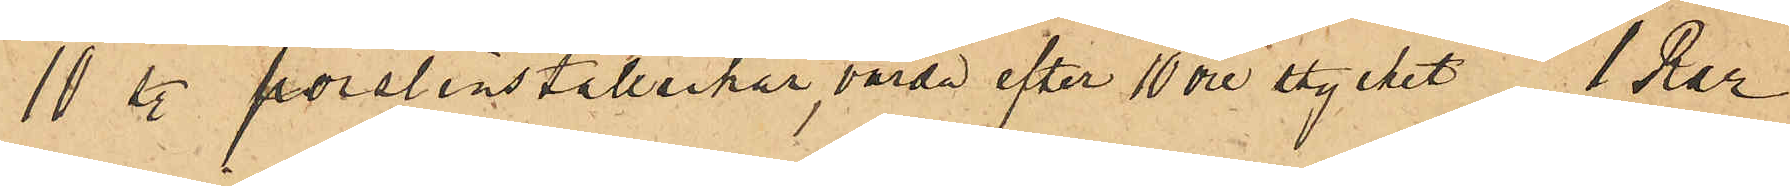10 sty.  porslinstallrikar, värde efter 10 öre stycket 1 Rdr
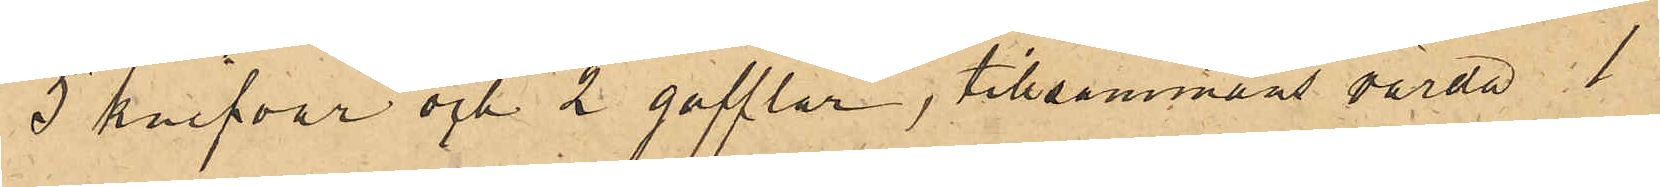5 knifvar och 2 gafflar, tillsammans värda 1
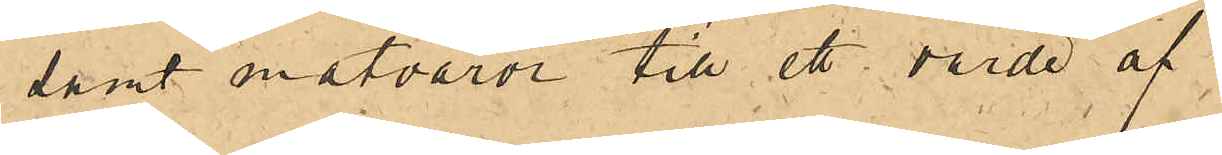samt matvaror till ett värde af
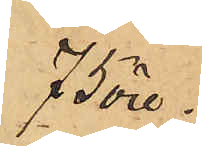75 öre.
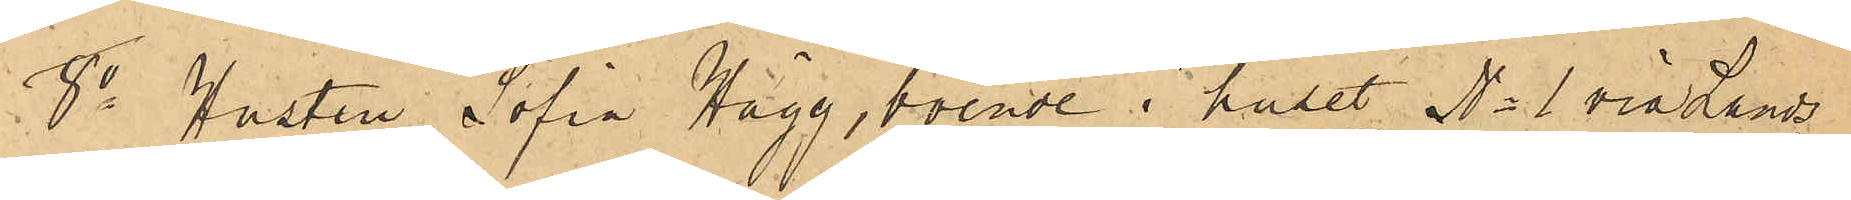8o Hustru Sofia Hägg, boende i huset No 1 vid Lands¬
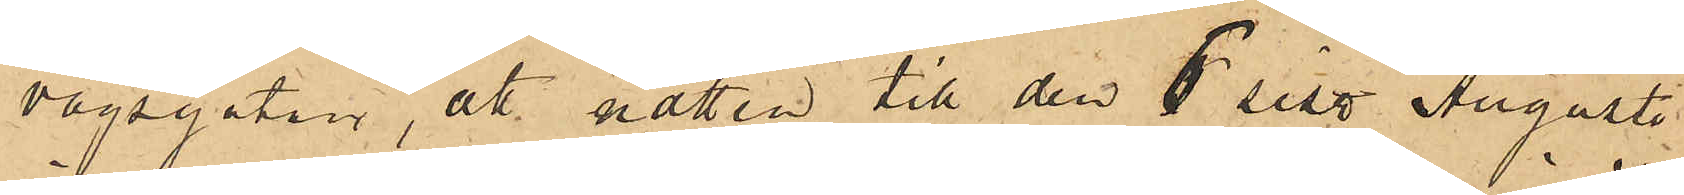vägsgatan, att natten till den 5 sist. Augusti
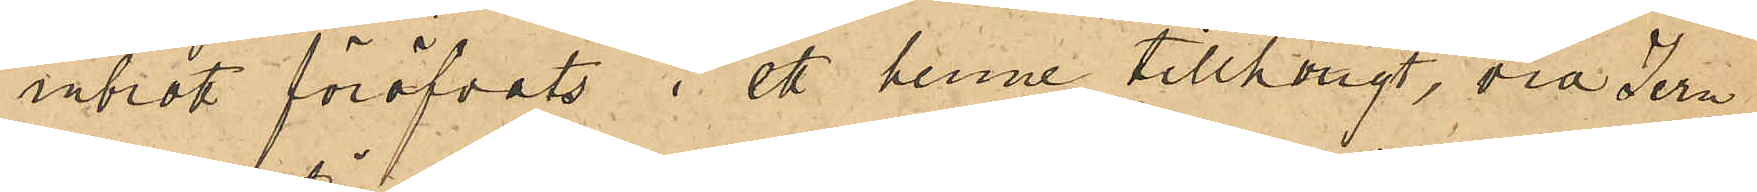inbrott föröfvats i ett henne tillhörigt, vid Jern¬
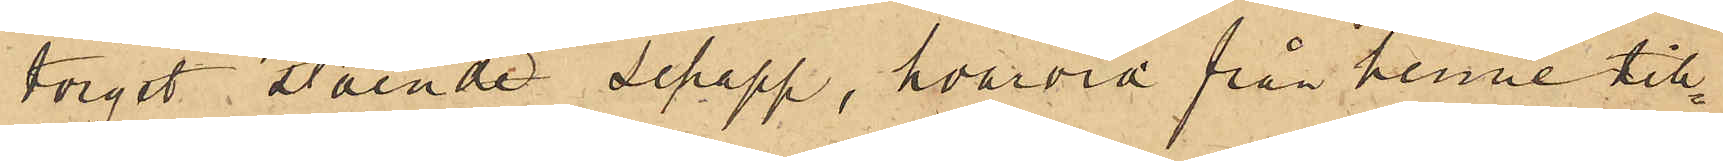torget stående schapp, hvarvid från henne till¬
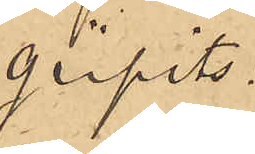gripits:
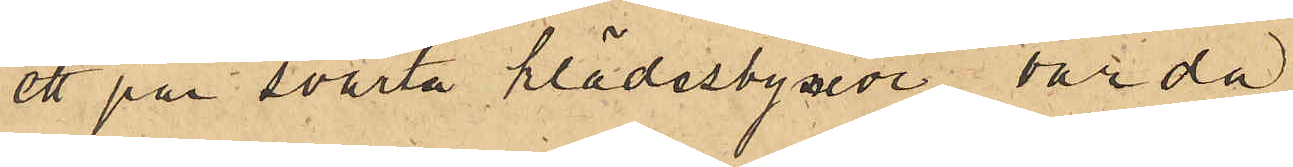ett par svarta klädesbyxor värda
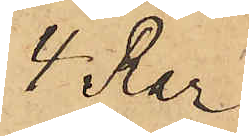1 Rdr
